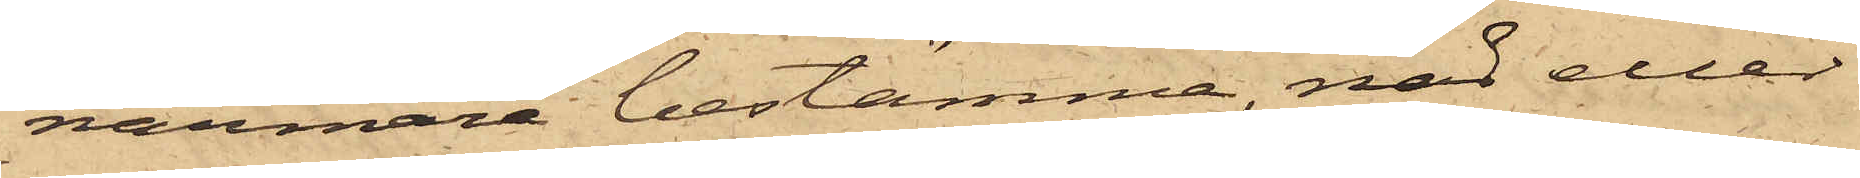närmare bestämma, nad eller
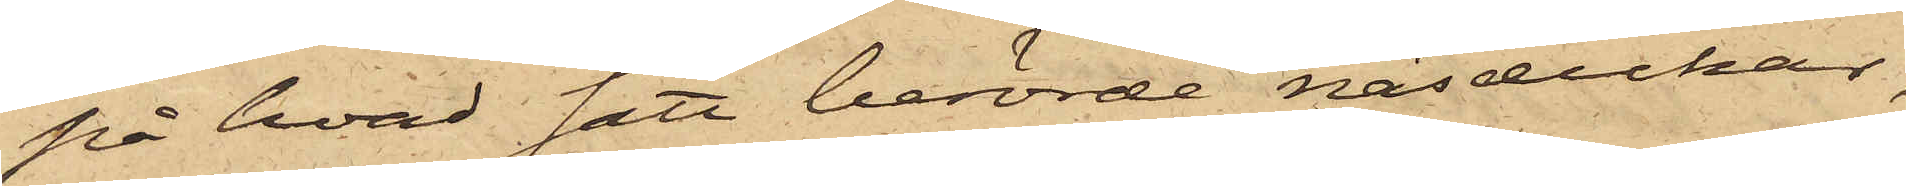på hvad sätt berörde näsdukar,
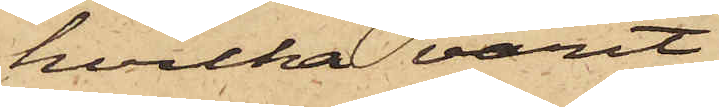hvilka varit
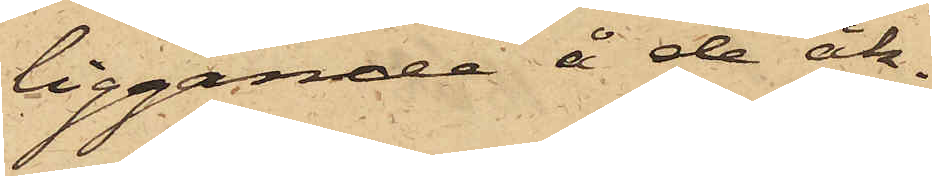liggande å de åk¬
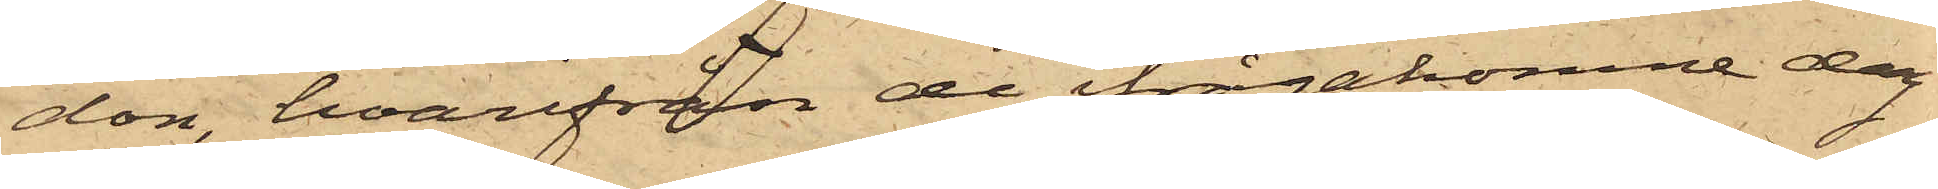don, hvarifrån de ifrågakomne dag
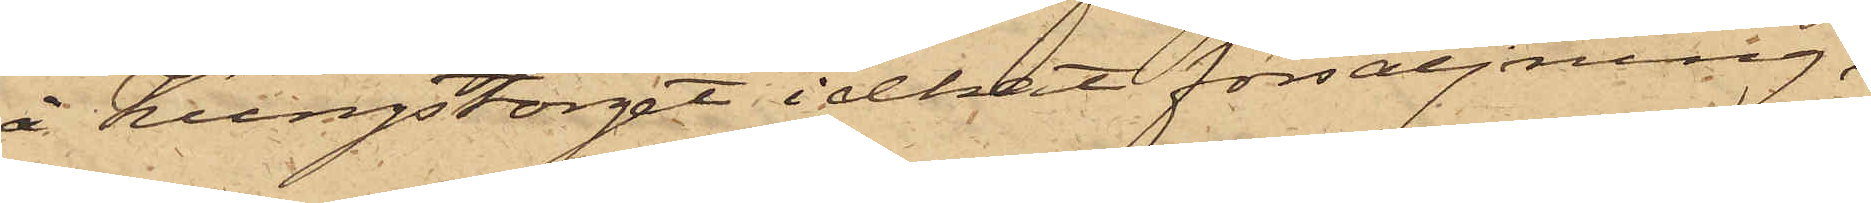å Kungstorget idkat försäljning,
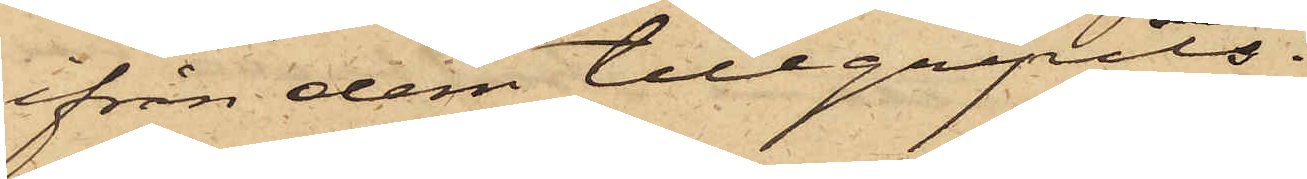ifrån dem tillgripits.
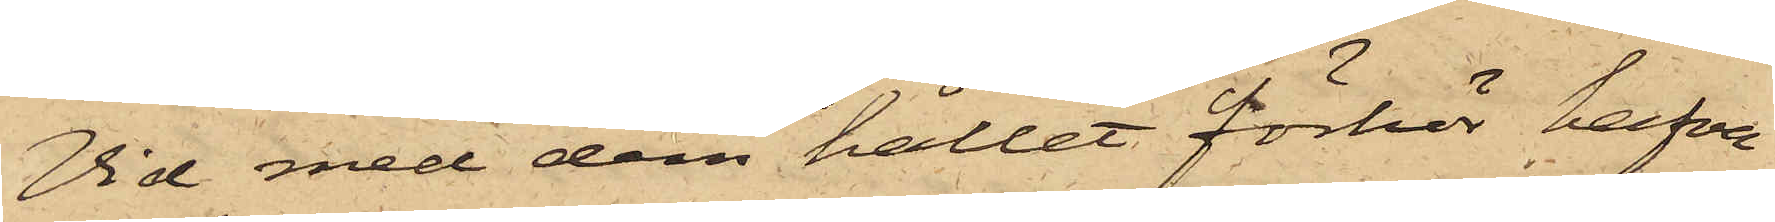Vid med dem hållet förhör hafva
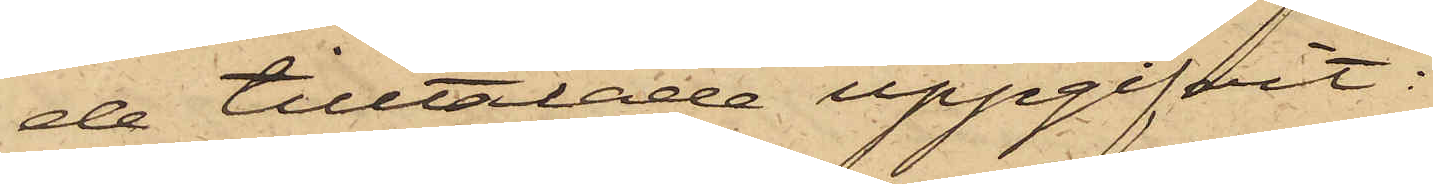de tilltalade uppgifvit:
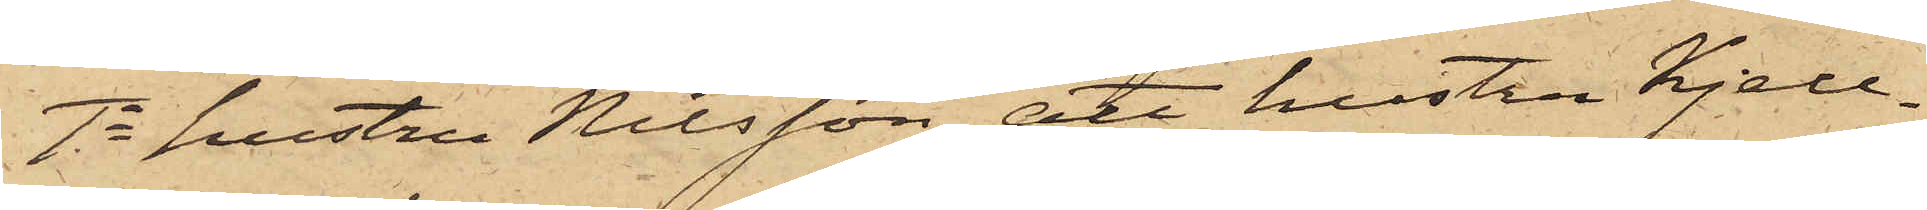1o hustru Nilsson, att hustru Kjell¬
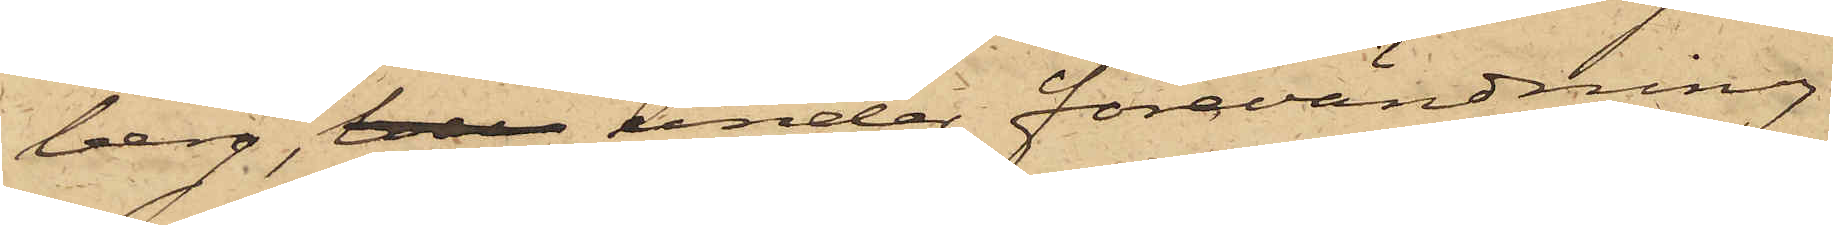berg, bes under förvändning
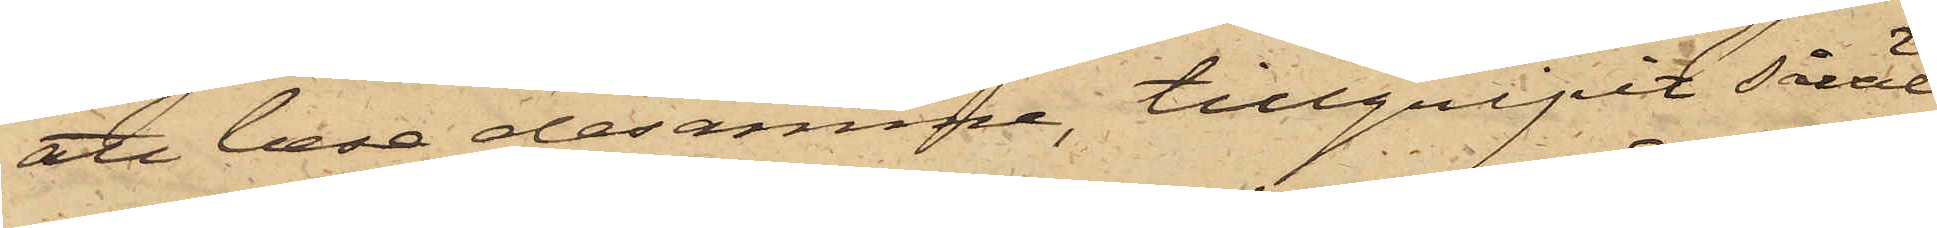att bese desamme, tillgripit såväl
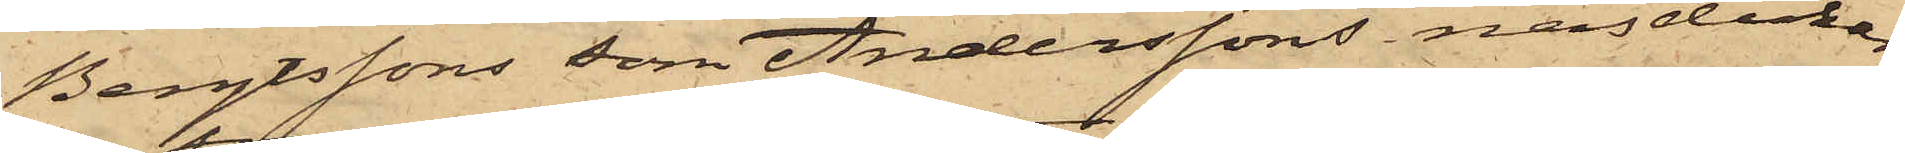Bengtssons som Anderssons näsdukar,
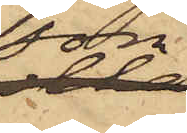som
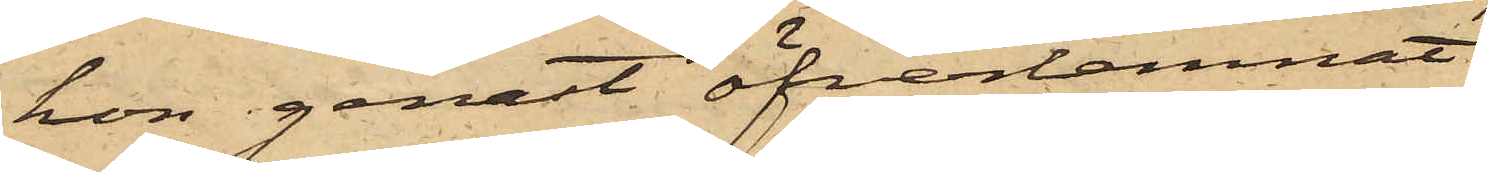hon genast öfverlemnat
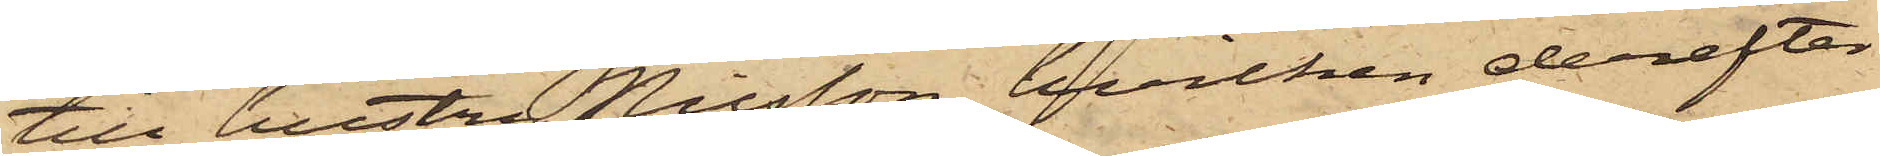till hustru Nilsson, hvilken derefter
